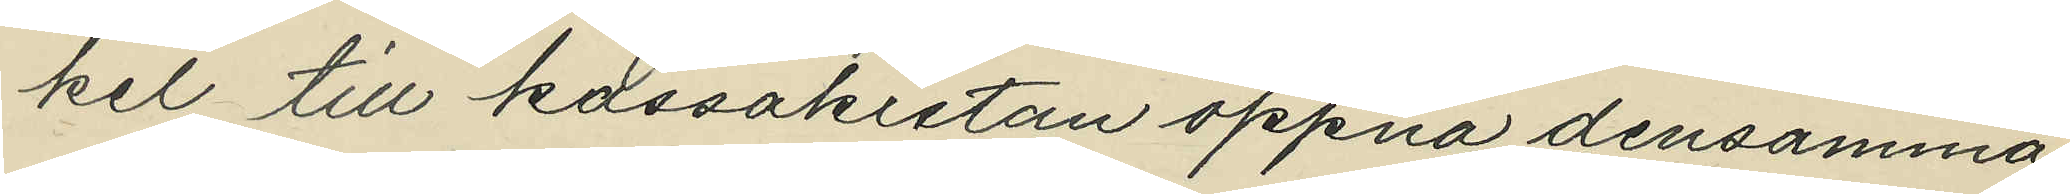kel till kassakistan öppna densamma;
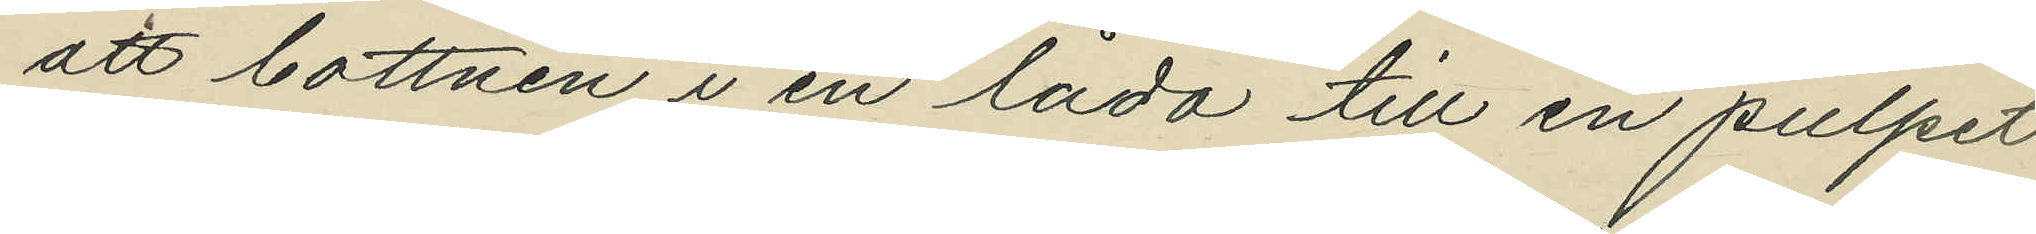att bottnen i en låda till en pulpet
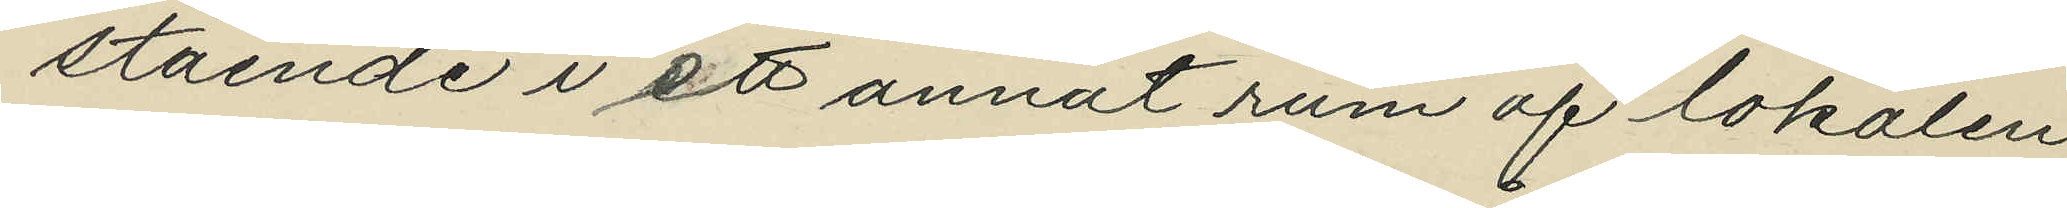stående i ett annat rum af lokalen
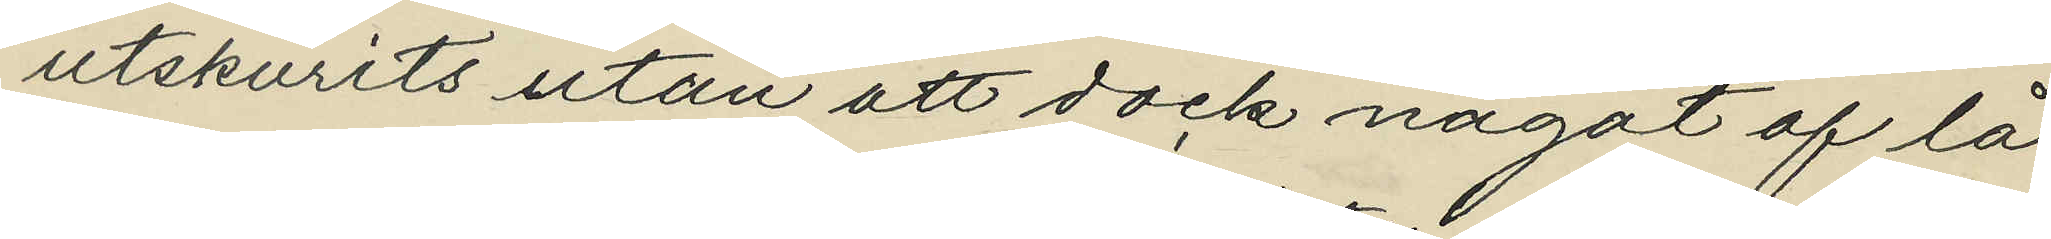utskurits utan att dock något af lå¬
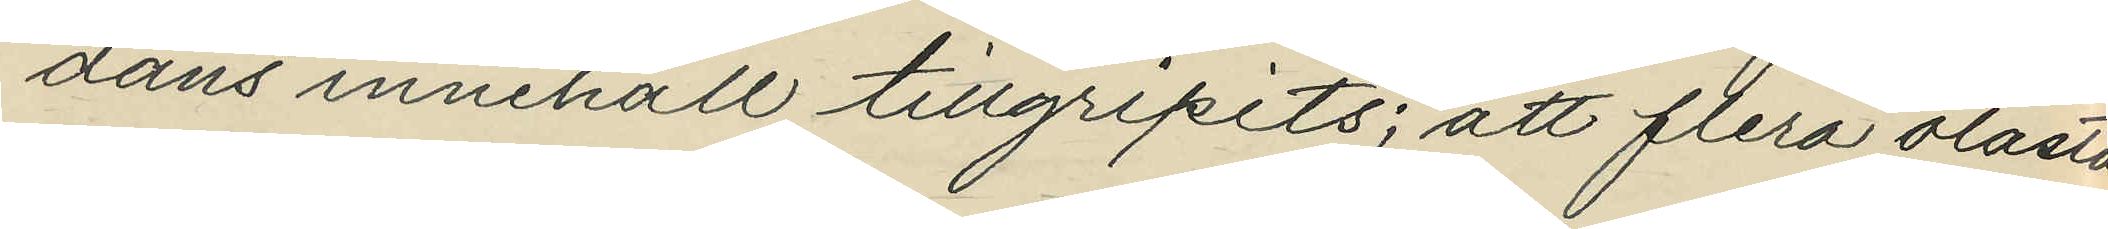dans innehåll tillgripits; att flera olåsta
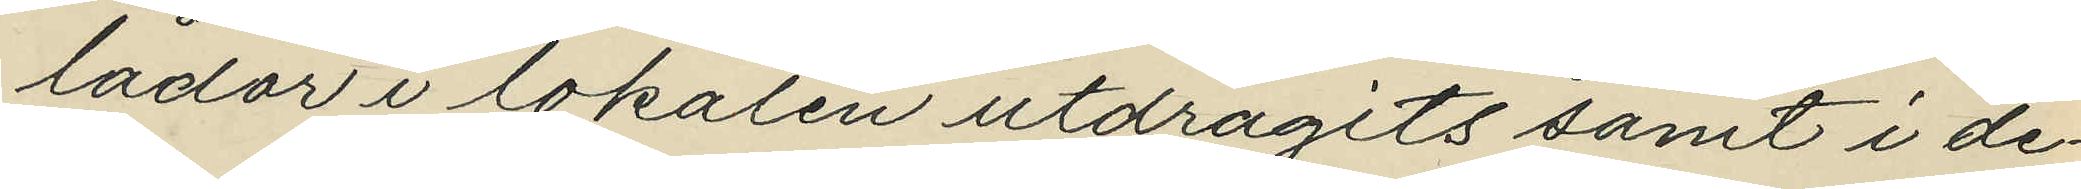lådor i lokalen utdragits samt i de¬
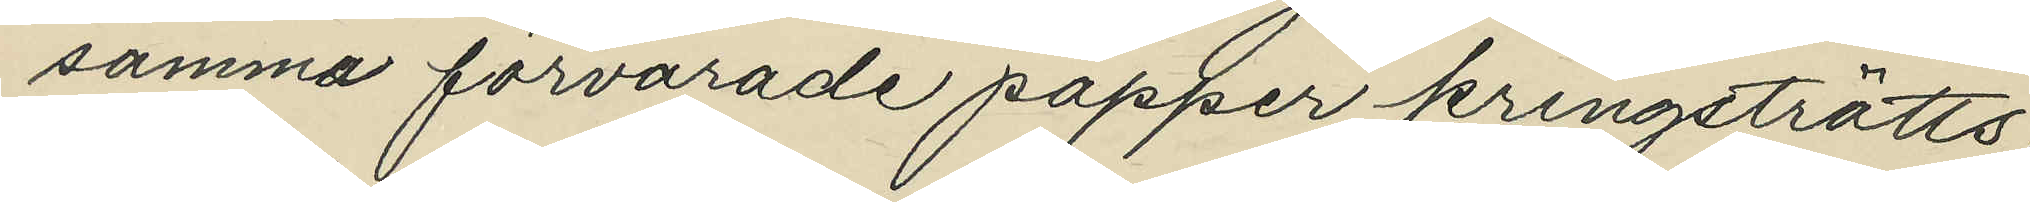samma förvarade papper kringströtts;
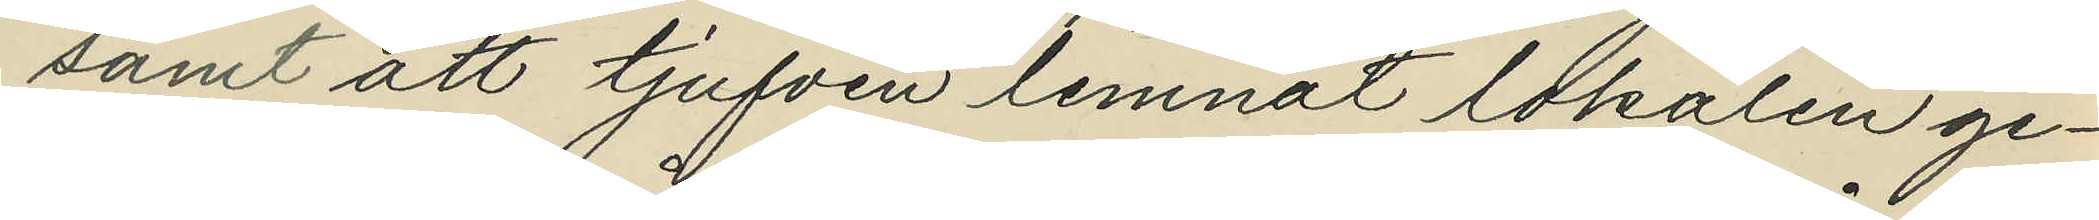samt att tjufven lemnat lokalen ge¬
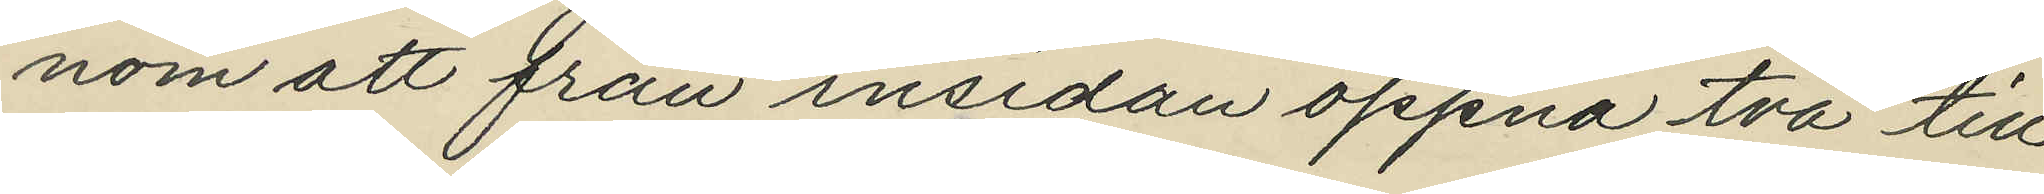nom att från insidan öppna två till
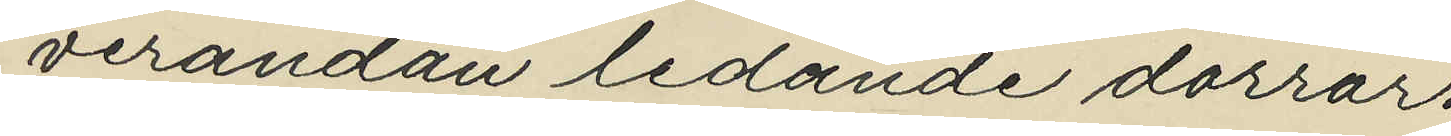verandan ledande dörrar.
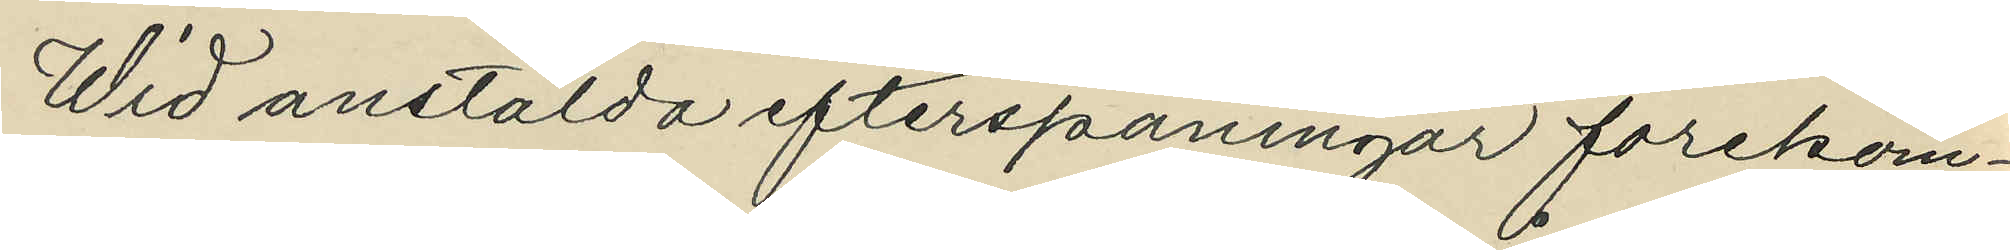Wid anstälda efterspaningar förekom¬
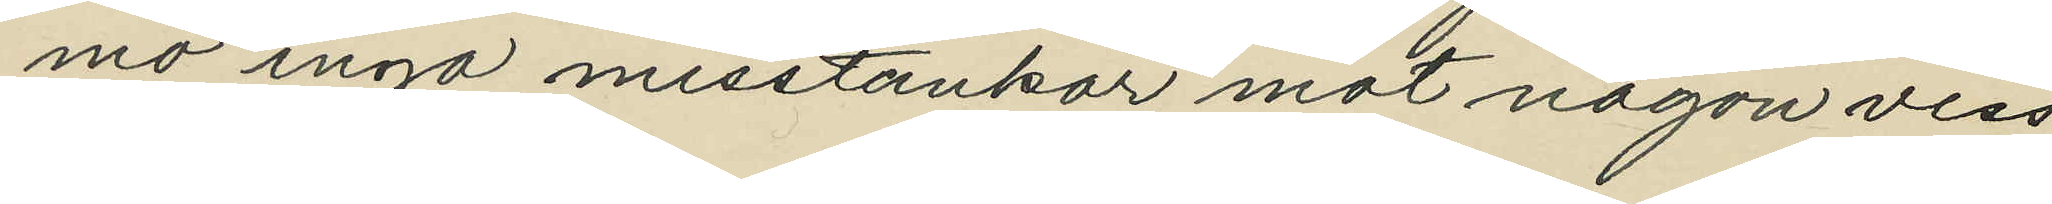mo ingå misstankar mot någon viss
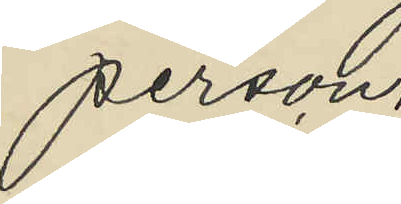person.
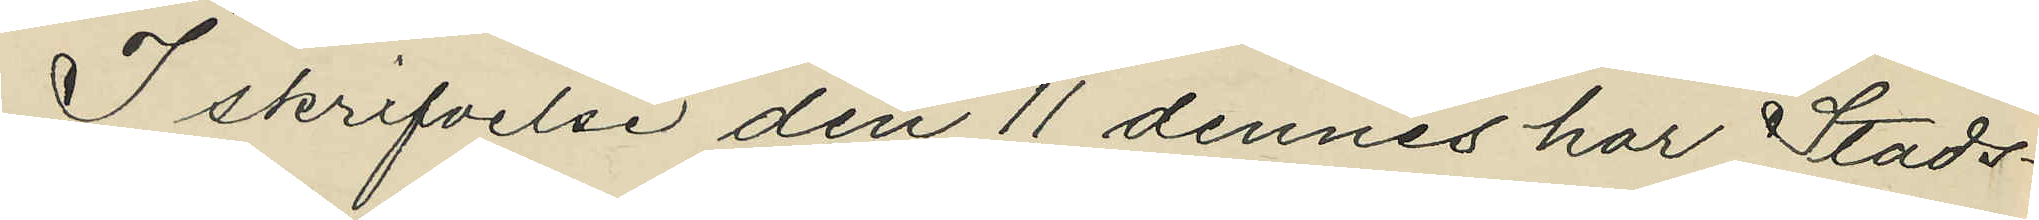I skrifvelse den 11 dennes har Stads¬
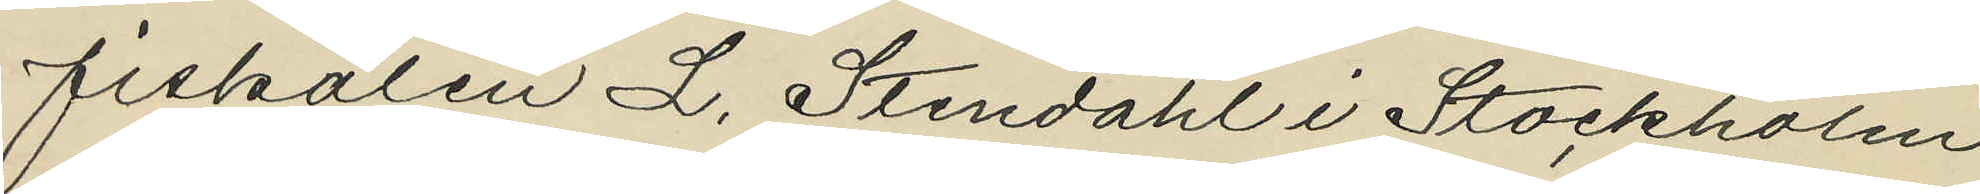fiskalen L. Stendahl i Stockholm
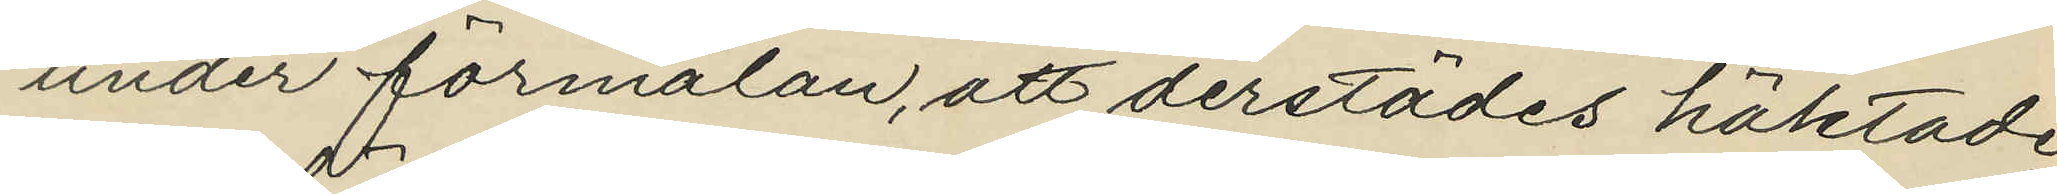under förmälan, att derstädes häktade
